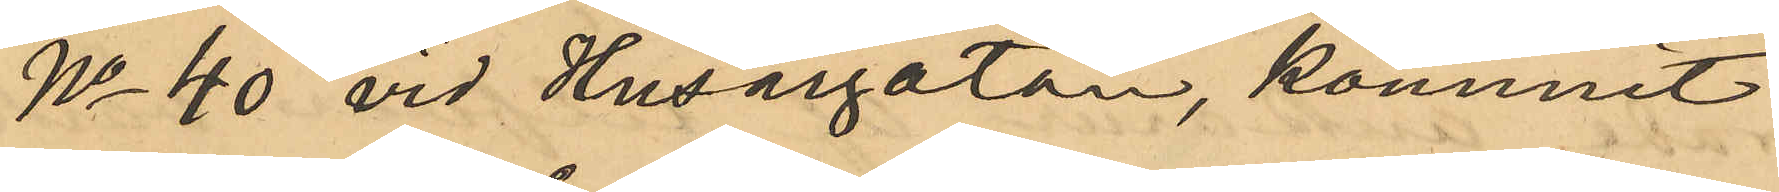No 40 vid Husargatan, kommit
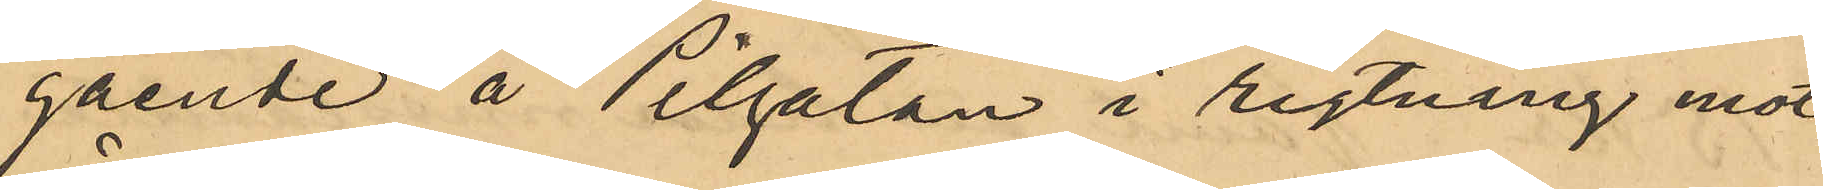gående å Pilgatan i rigtning mot
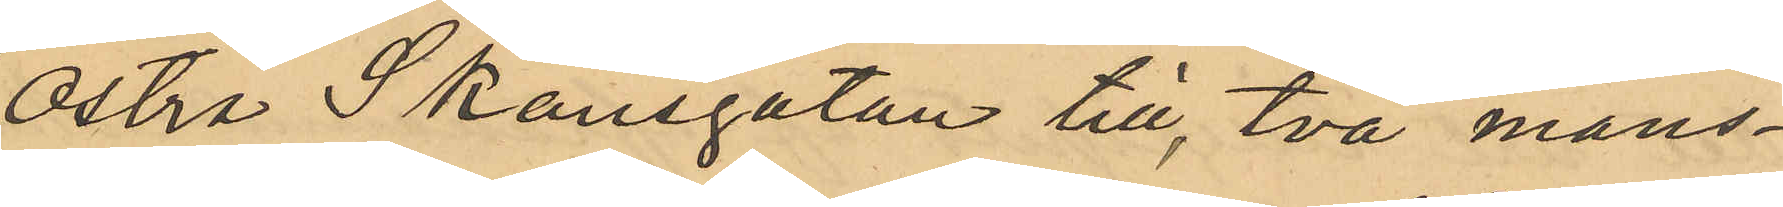Östra Skansgatan till, två mans¬
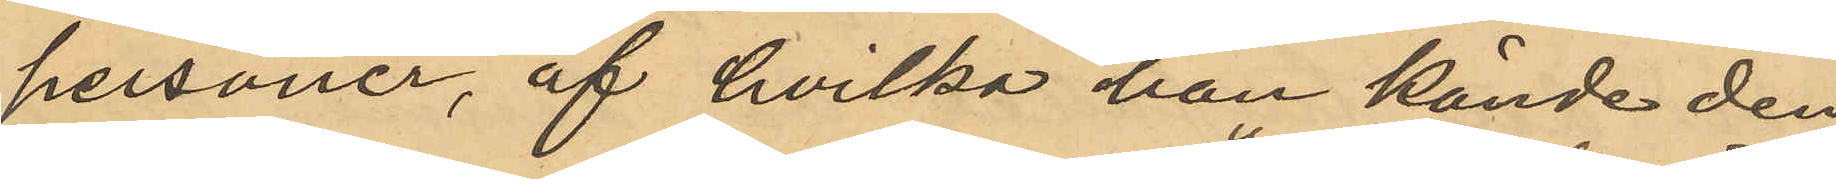personer, af hvilka han kände den
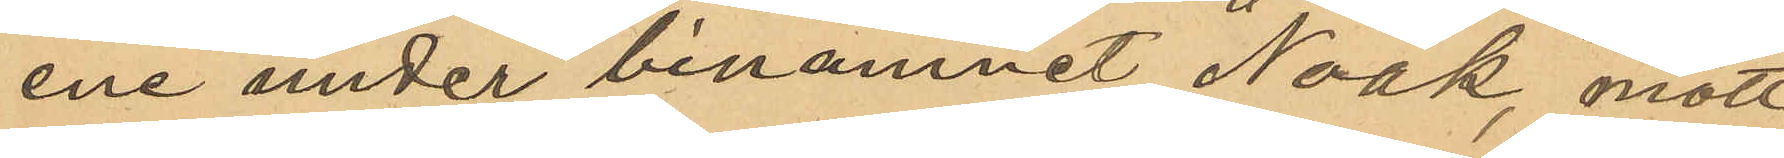ene under binamnet "Noak", mött
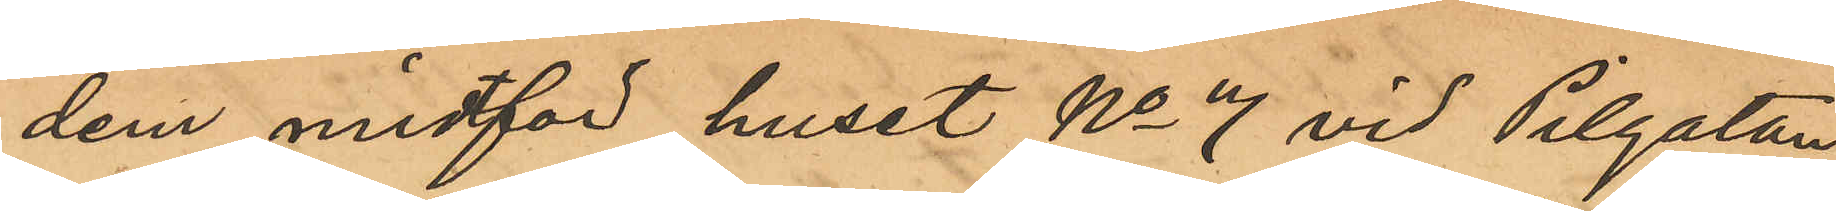dem midtför huset No 7 vid Pilgatan
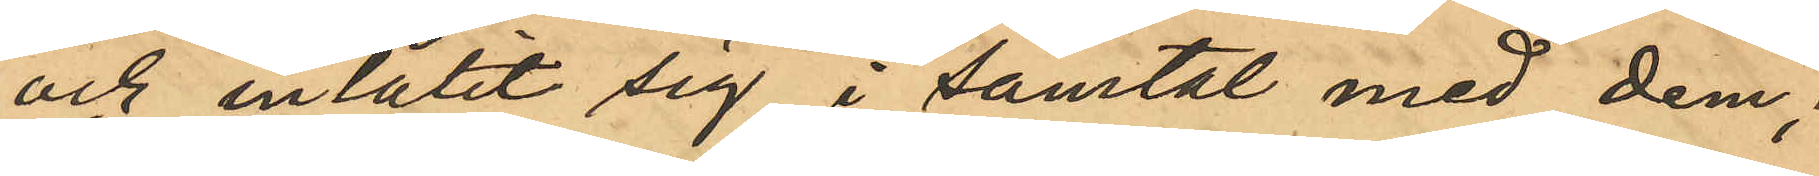och inlåtit sig i samtal med dem;
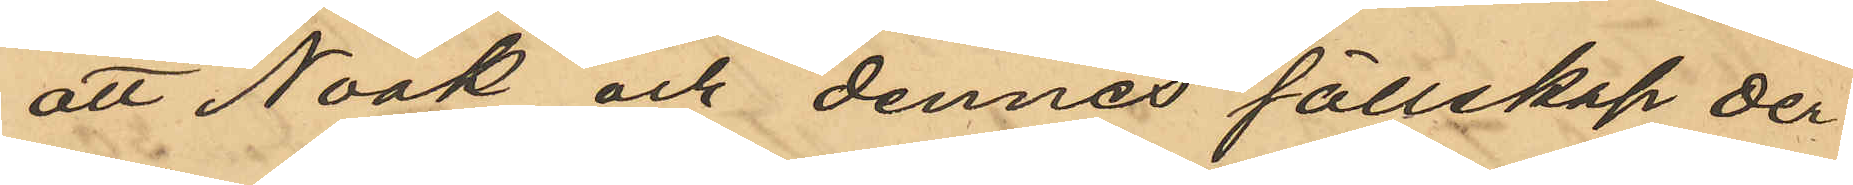att Noak och dennes sällskap der¬
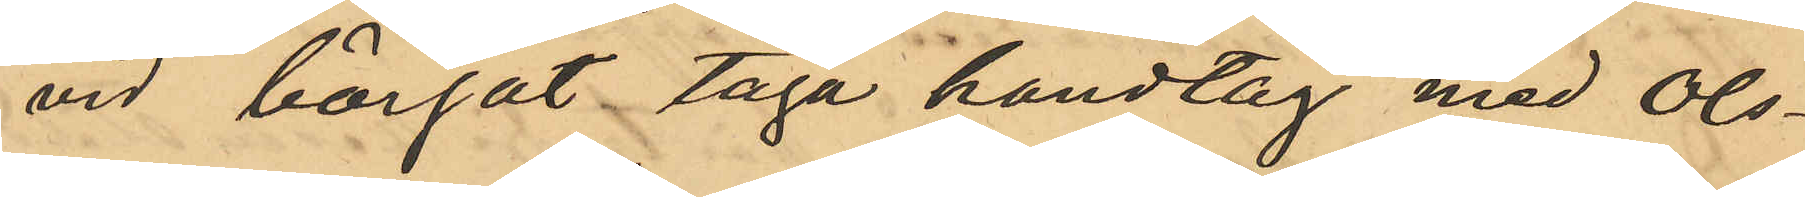vid börjat taga handtag med Ols¬
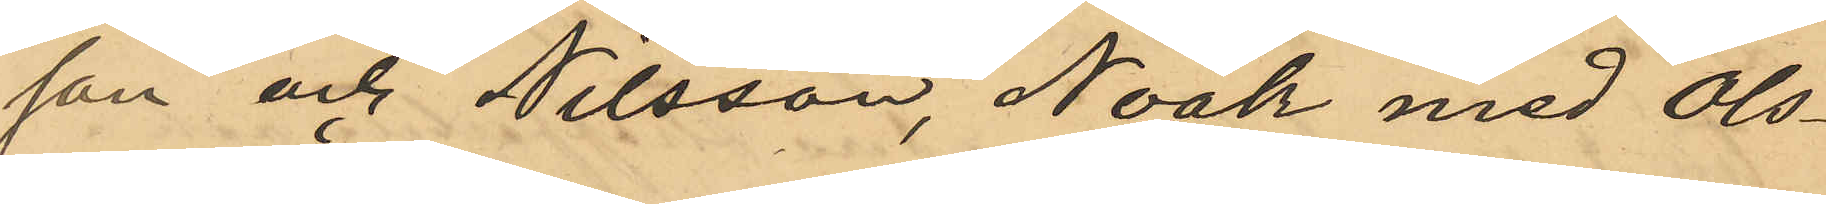son och Nilsson, Noak med Ols¬
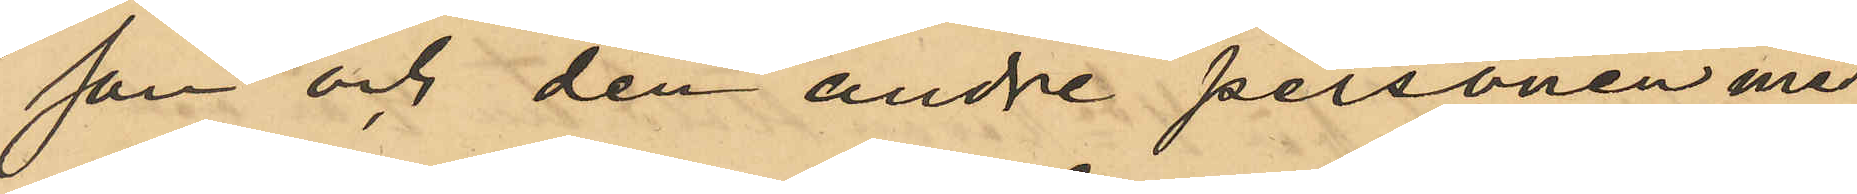son och den andre personen med
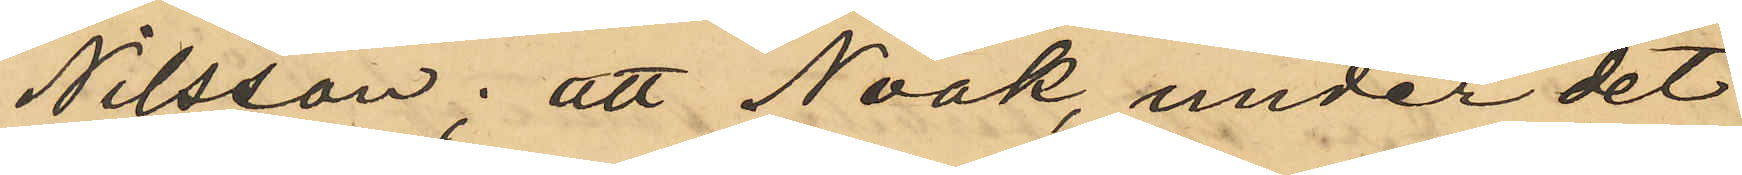Nilsson; att Noak, under det
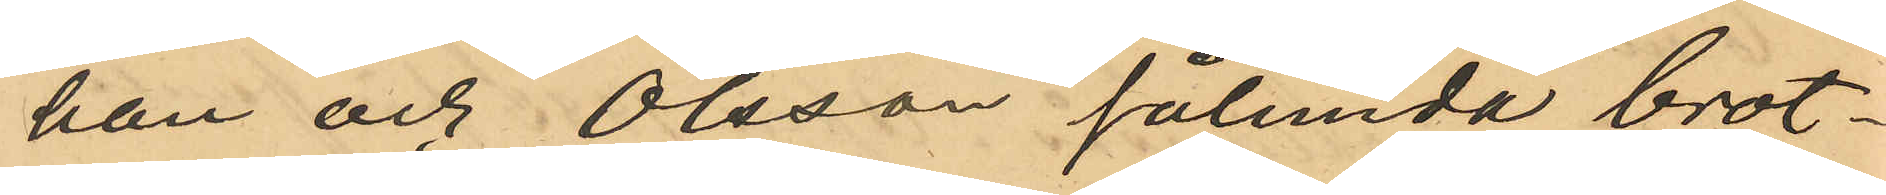han och Olsson sålunda brot¬
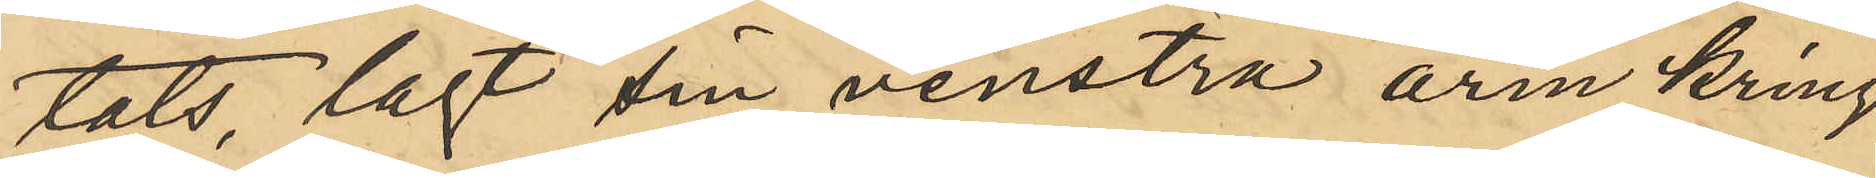tats, lagt sin venstra arm kring
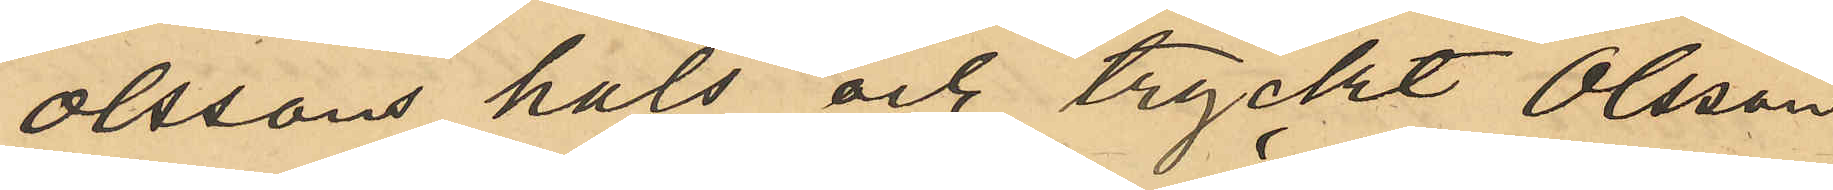Olssons hals och tryckt Olsson
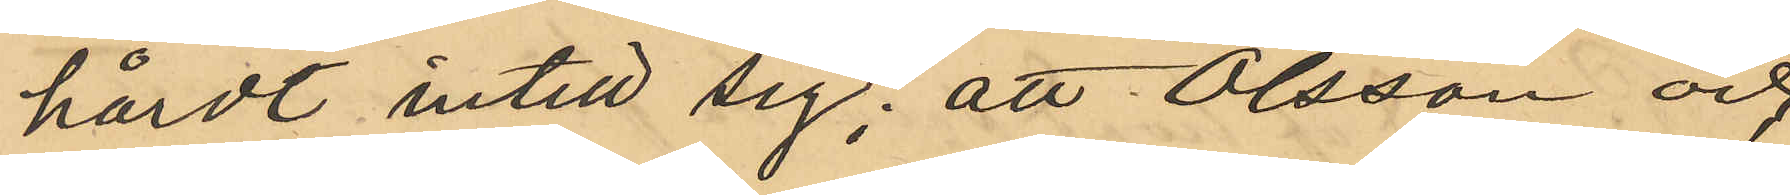hårdt intill sig; att Olsson och
